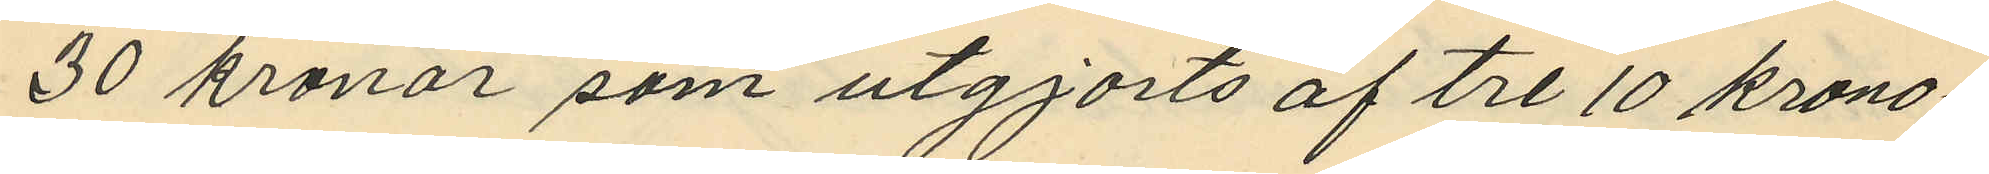30 kronor som utgjorts af tre 10 krono¬
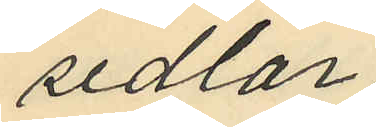sedlar,
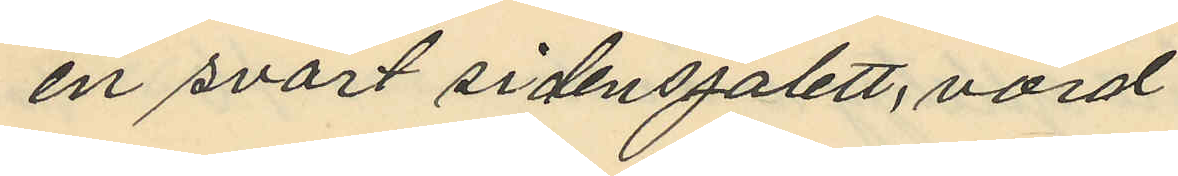en svart sidensjalett, värd
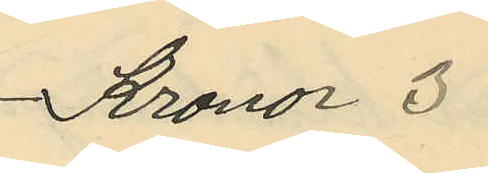Kronor 3
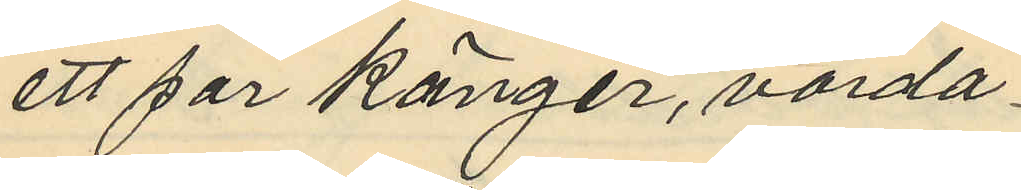ett par känger, värda
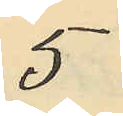5
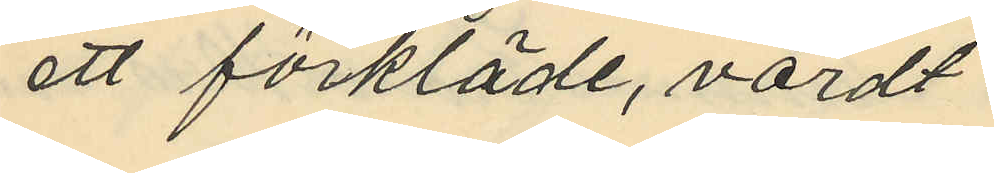ett förkläde, värdt
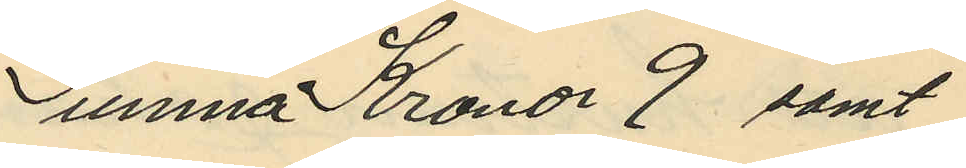Summa Kronor 9 samt
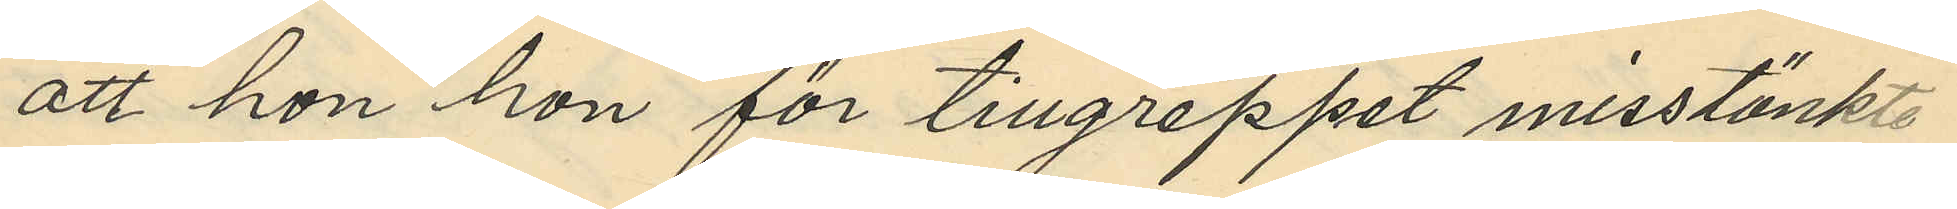att hon hon för tillgreppet misstänkte
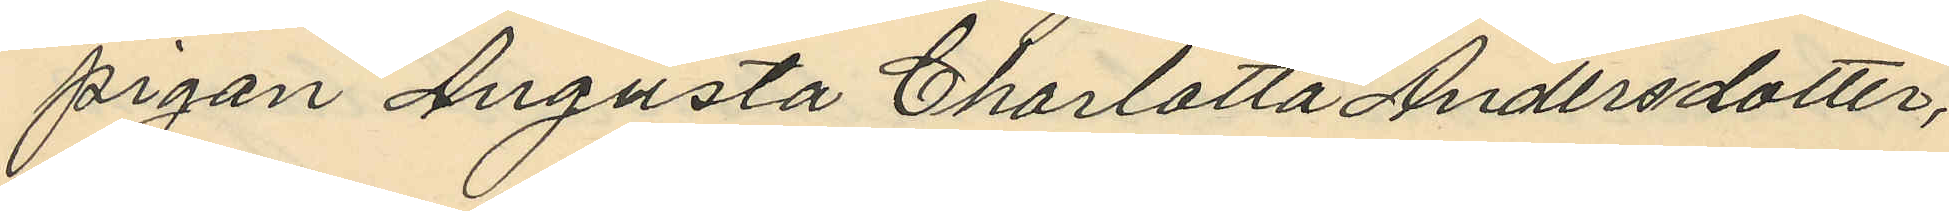pigan Augusta Charlotta Andersdotter,
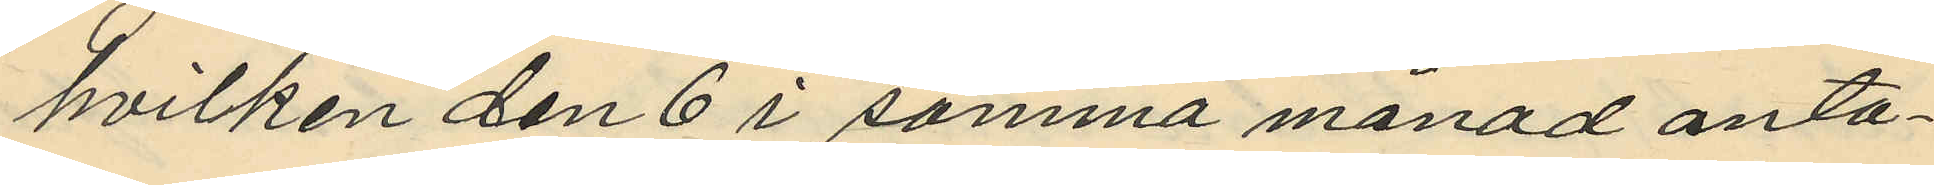hvilken den 6 i samma månad anta¬
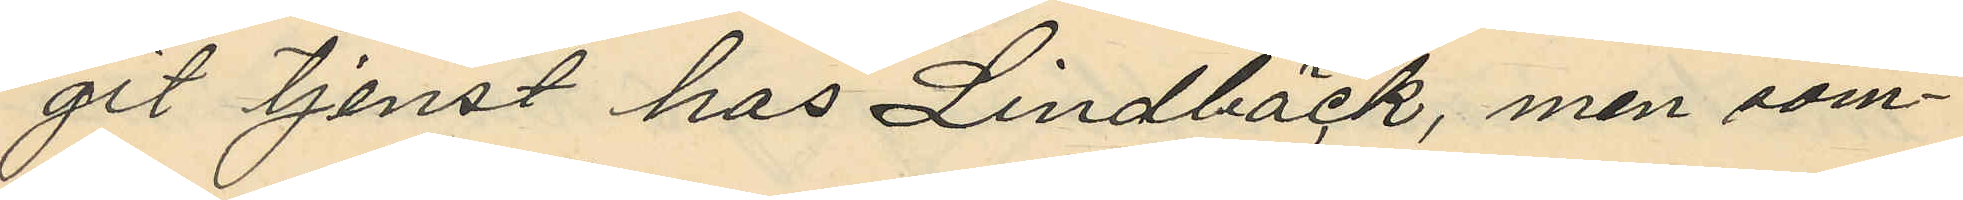git tjenst hos Lindbäck, men sam¬
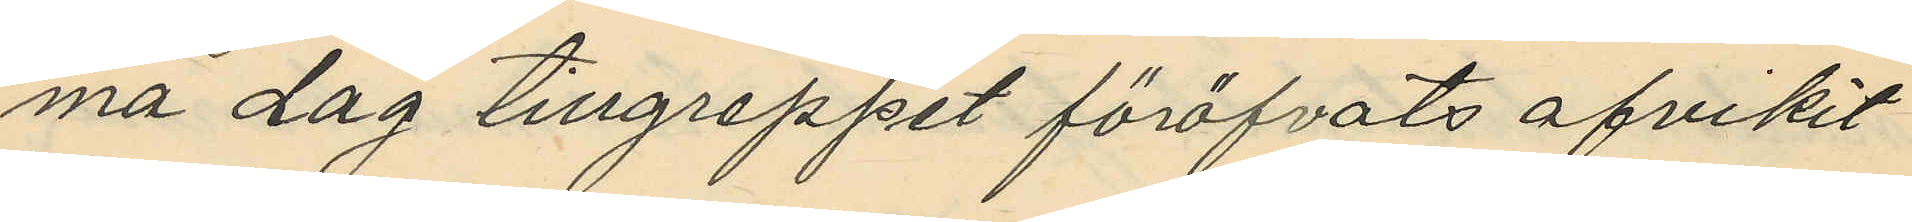ma dag tillgreppet föröfvats afvikit
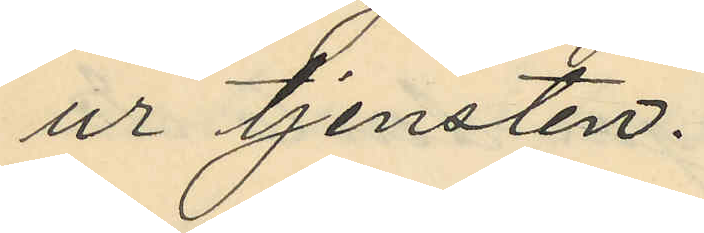ur tjensten.
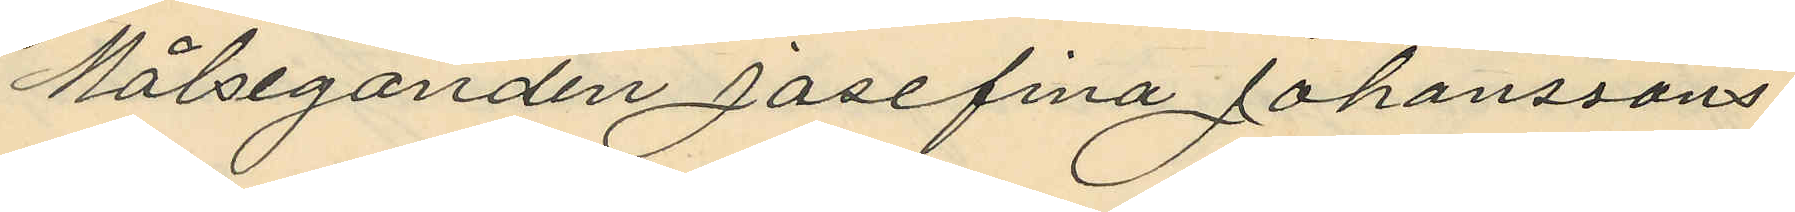Målseganden Josefina Johanssons
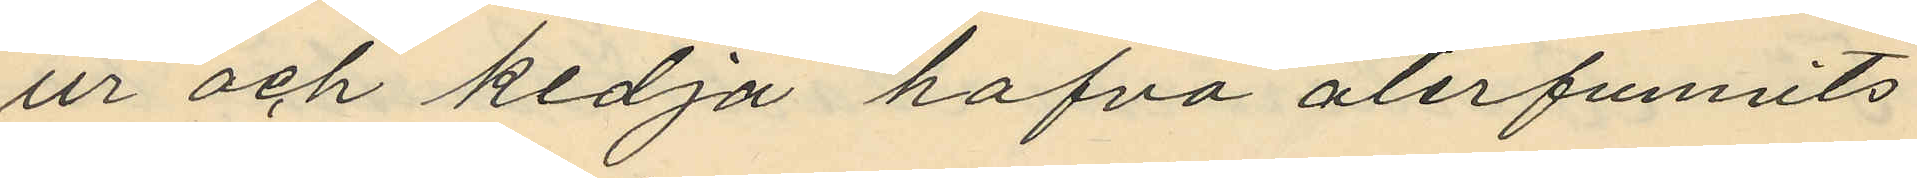ur och kedja hafva återfunnits
